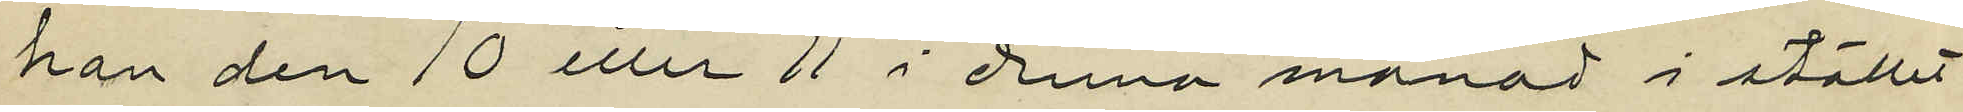han den 10 eller 11 i denna månad i stället
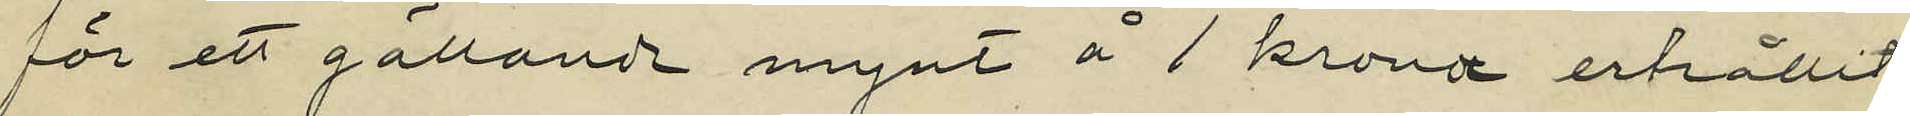för ett gällande mynt å 1 krona erhållit
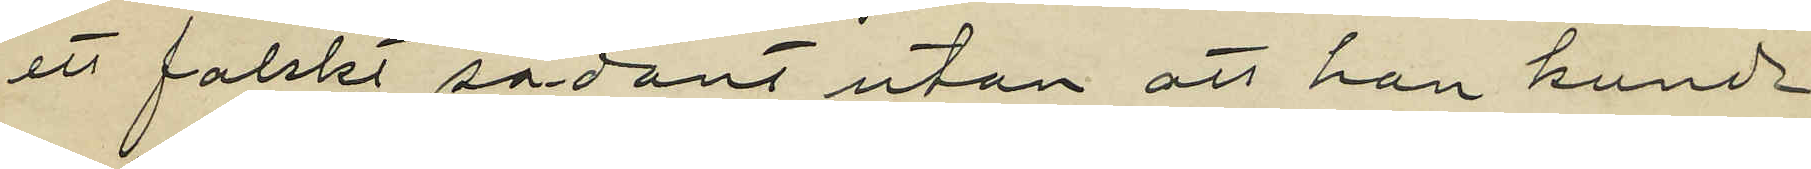ett falskt sådant utan att han kunde
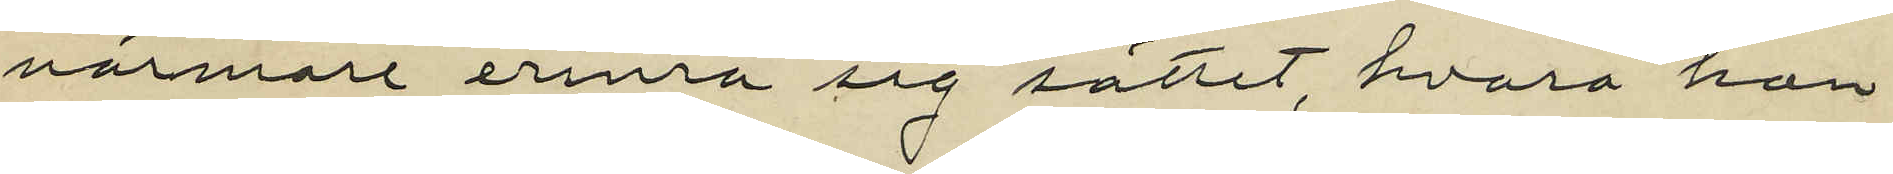närmare erinra sig sättet, hvarå han
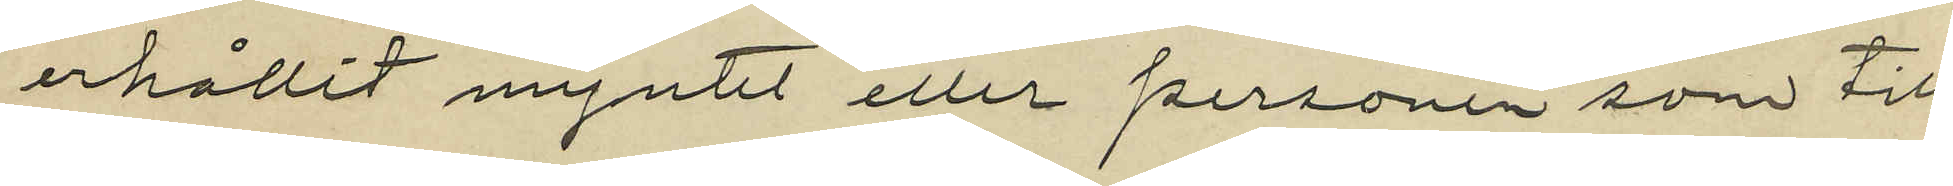erhållit myntet eller personen som till
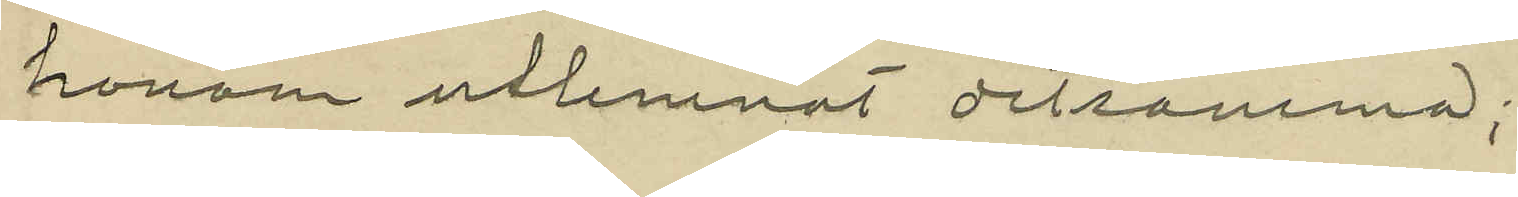honom utlemnat detsamma;
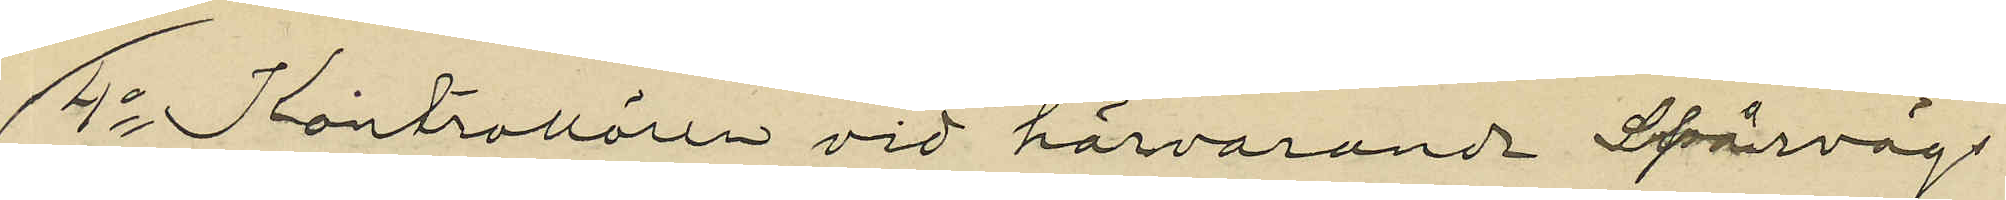4o Kontrollören vid härvarande Spårvägs
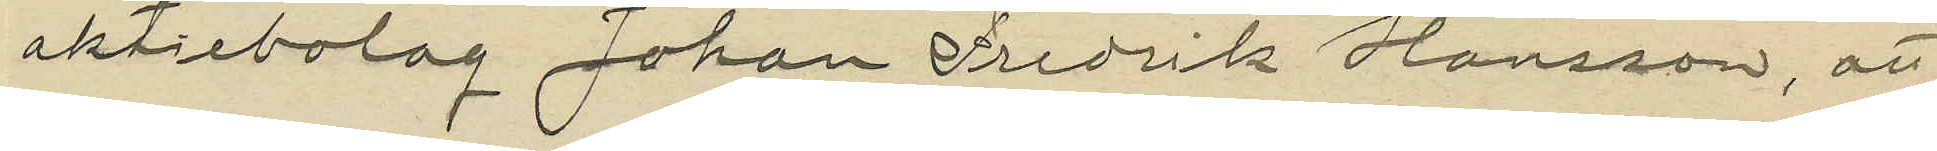aktiebolag Johan Fredrik Hansson, att
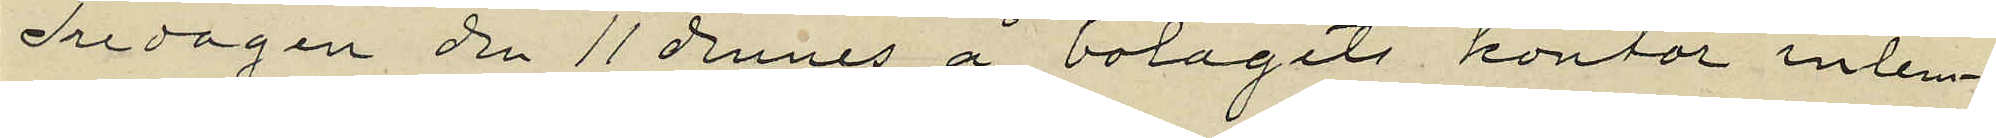Fredagen den 11 dennes å bolagets kontor inlem¬
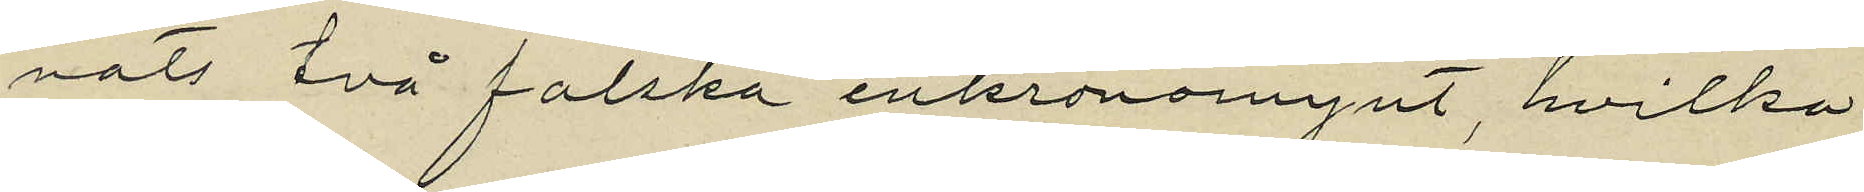nats två falska enkronomynt, hvilka
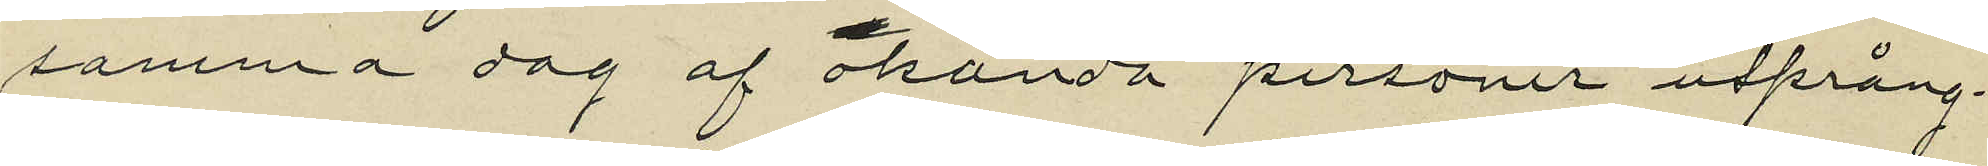samma dag af okända personer utprång¬
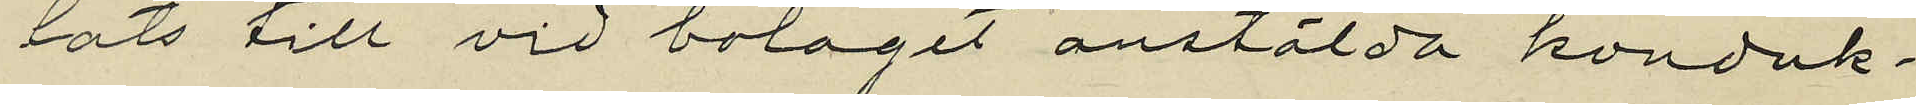lats till vid bolaget anstälda konduk¬
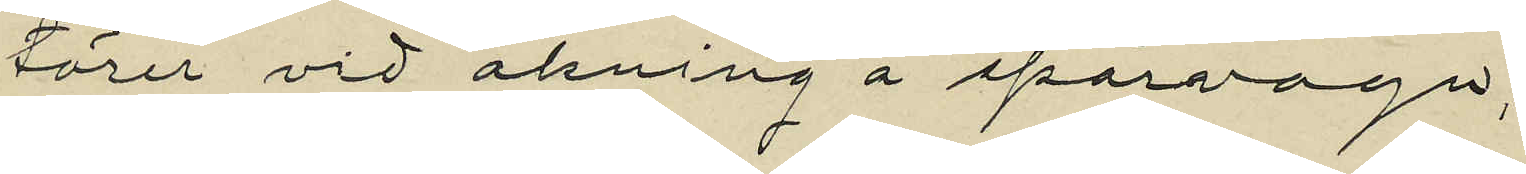törer vid åkning å spårvagn;
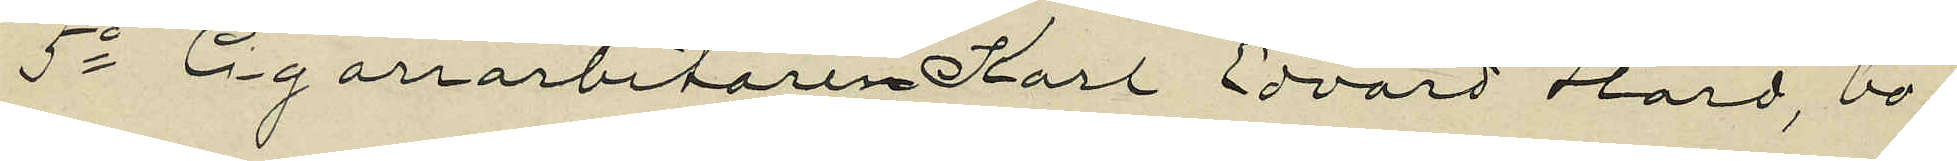5o Cigarrarbetaren Karl Edvard Hård, bo¬
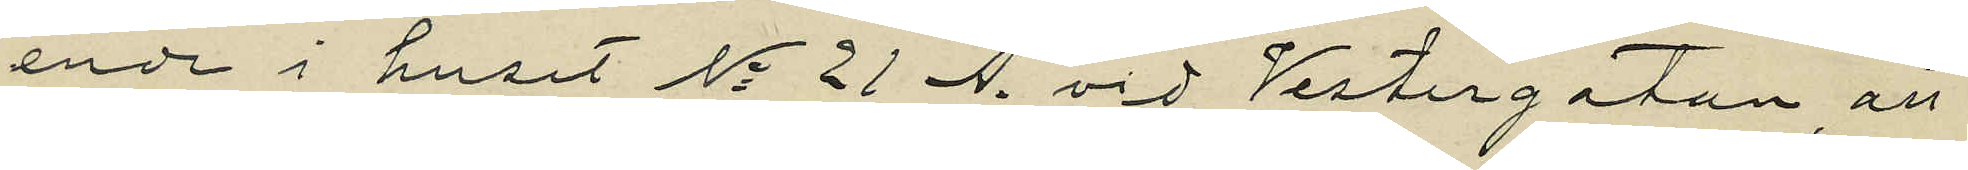ende i huset No 21 A. vid Vestergatan, att
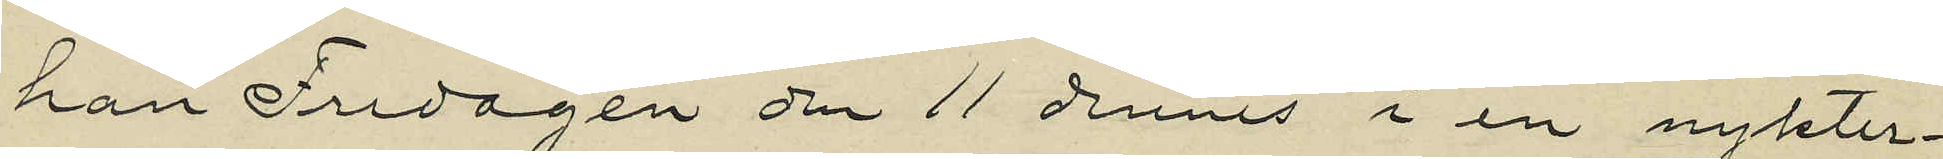han Fredagen den 11 dennes i en nykter¬
